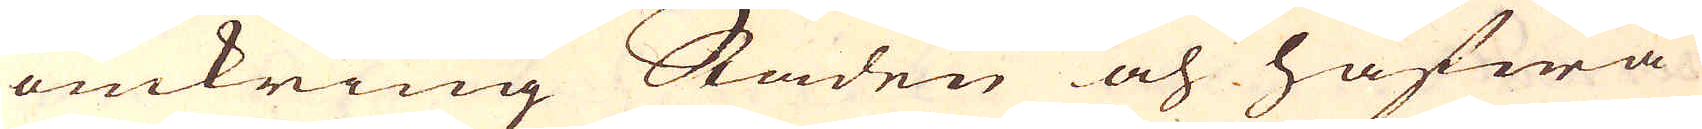omkring Staden och hafwa
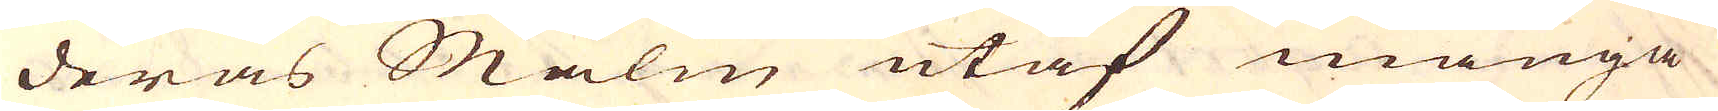deras Malm utaf många
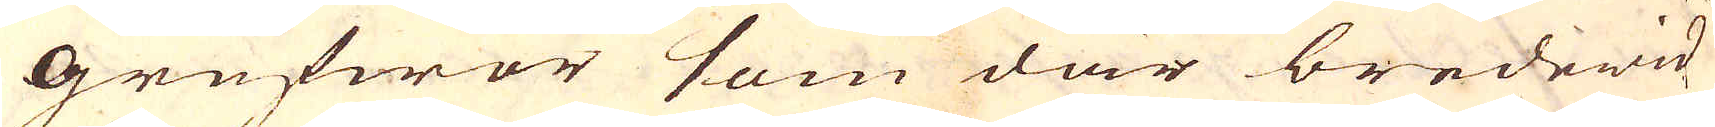grufwor som där bredewid
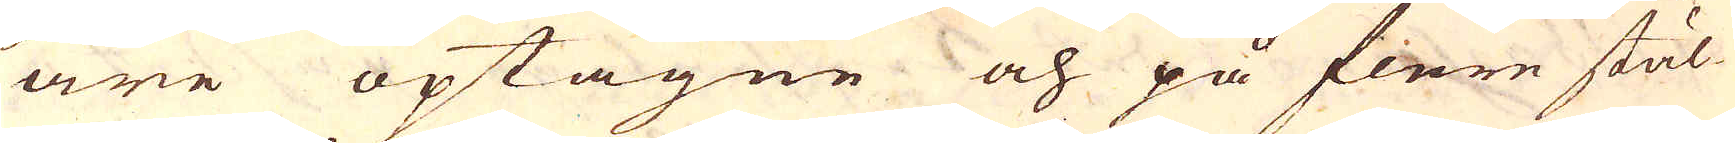äre optagne och på flere stäl-
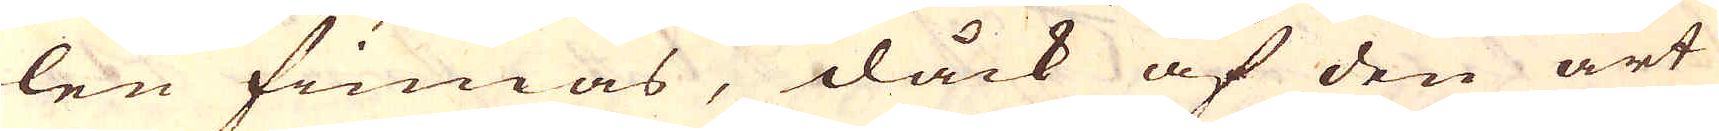len finnas, dåck af den art
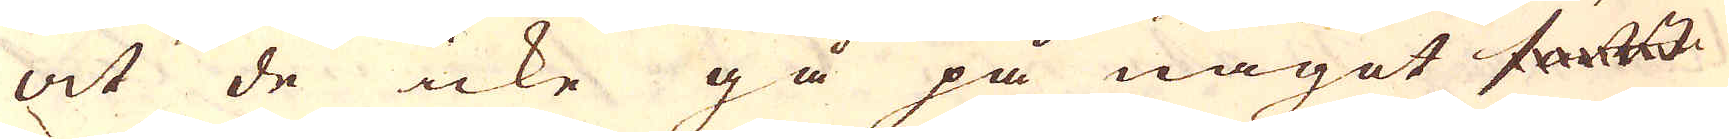at de icke gå på något sätt
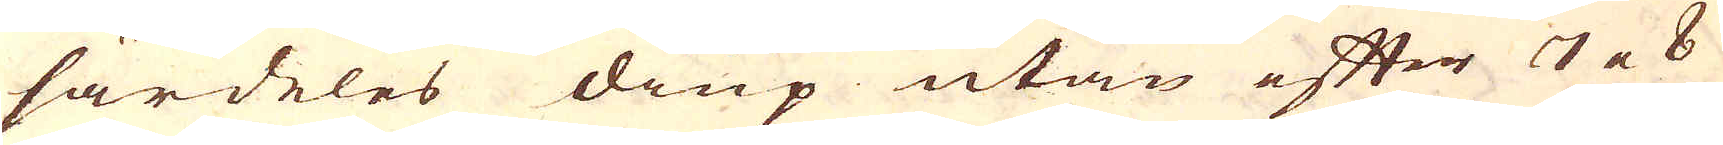särdeles diup utan efter 7 a 8
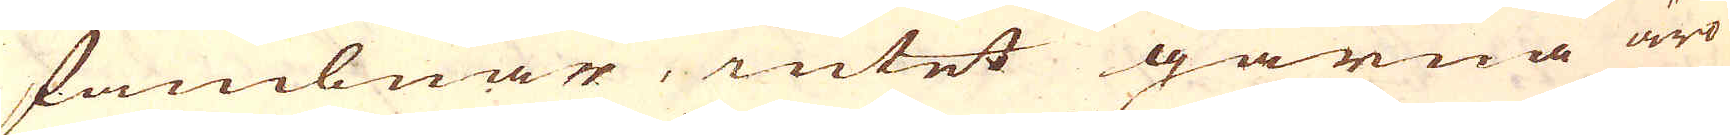fambnar, intet gärna äro
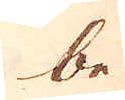be
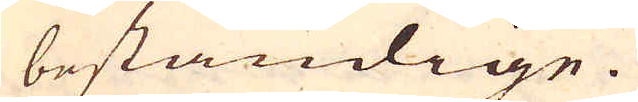beständige.
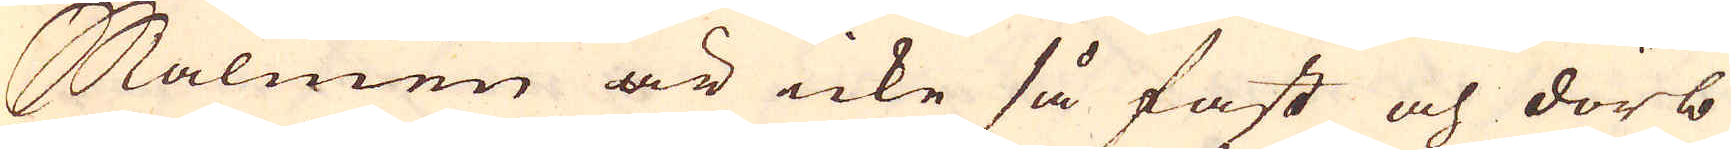Malmen är icke så fast och dörb
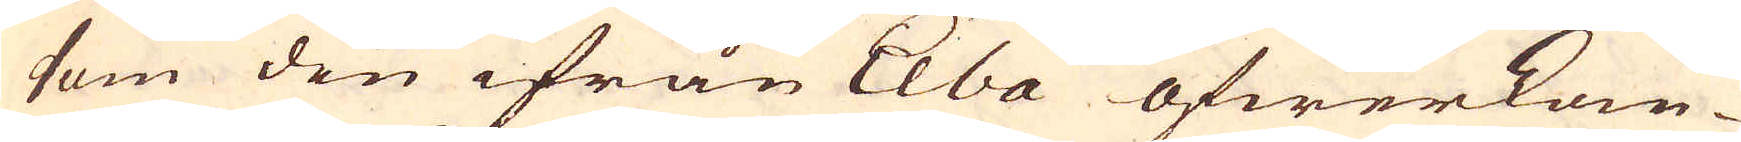som den ifrån Elba öfwerkom-
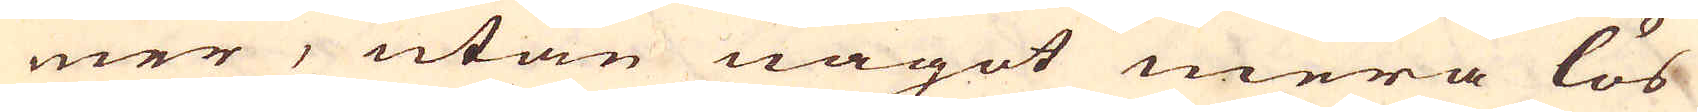mer, utan något mera lös
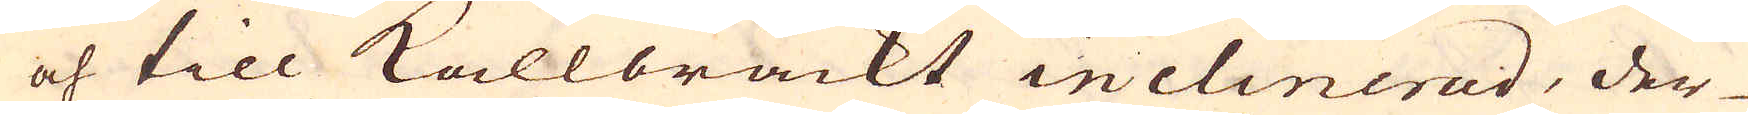och till kallbrackt inclinerad, der-
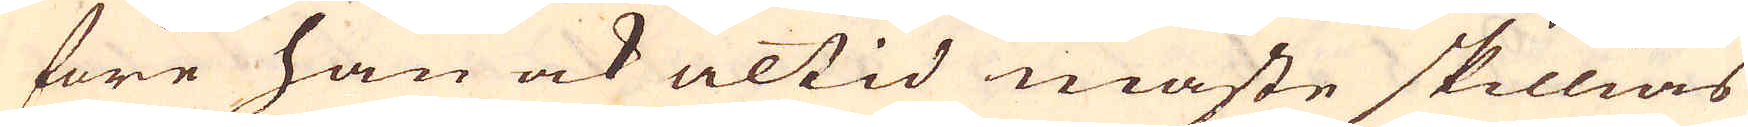före han ock altid måste skillias
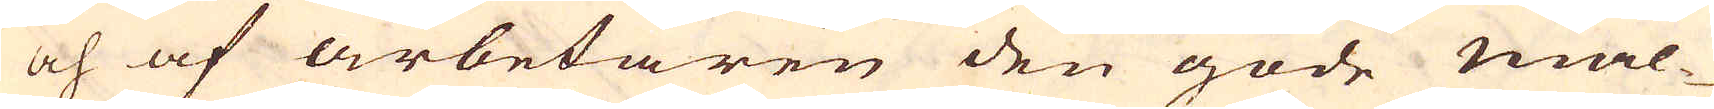och af arbetaren den gode mal-
